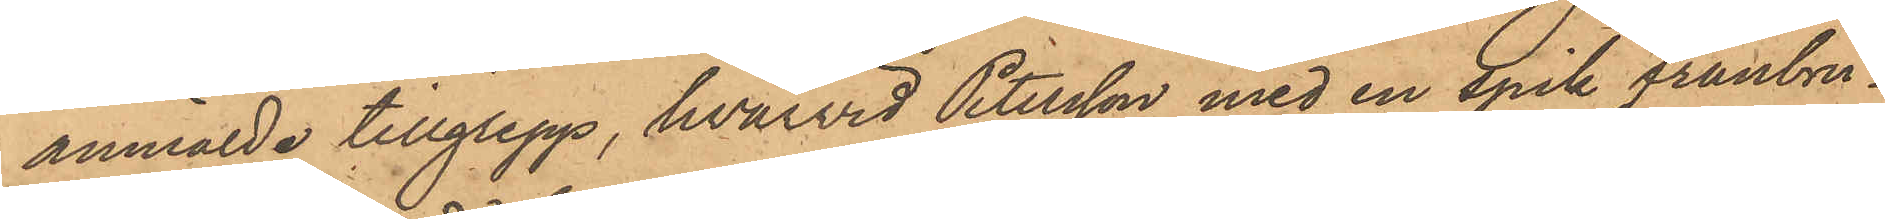anmälde tillgrepp, hvarvid Petersson med en spik frånbru¬
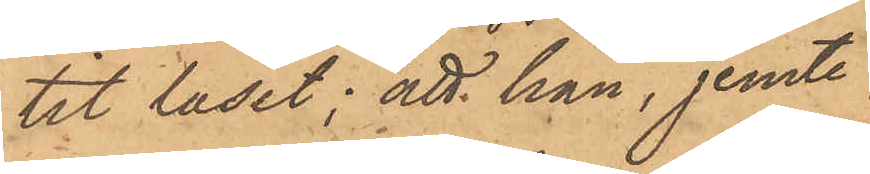tit låset; att han, jemte
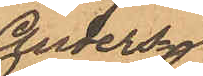Anders¬
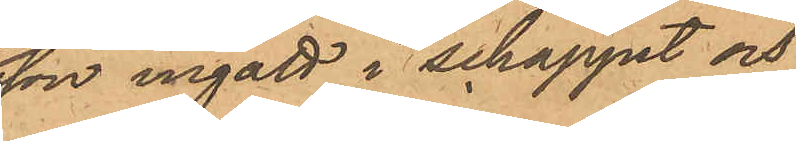son ingått i schappet och
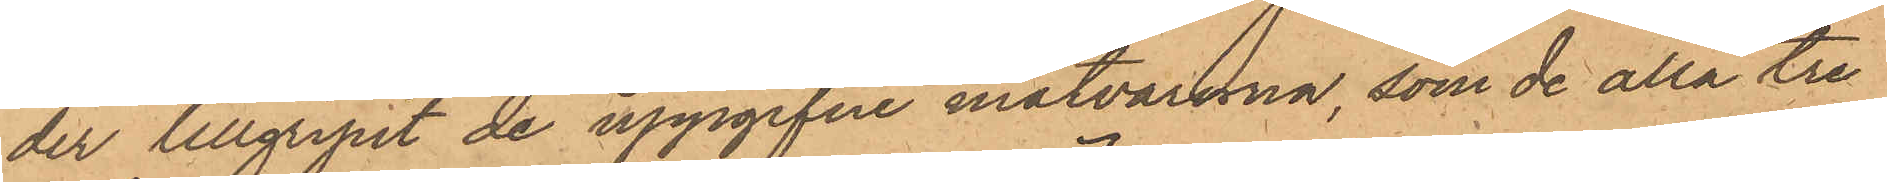der tillgripit de uppgifne matvarorna, som de alla tre
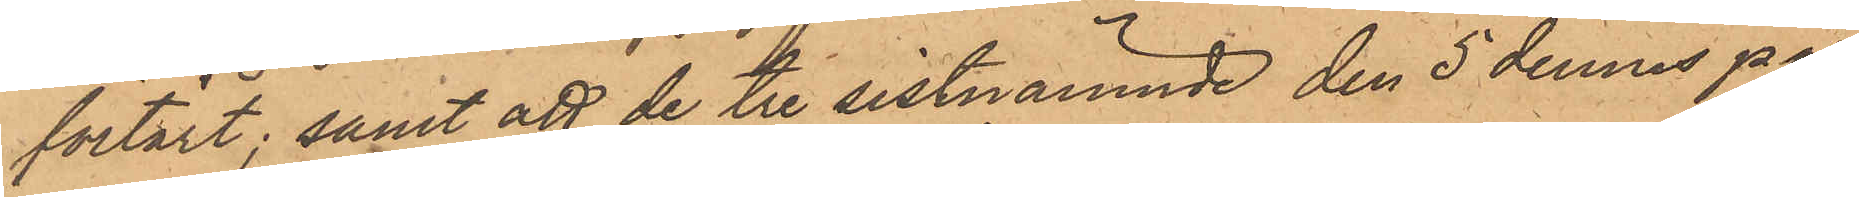förtärt; samt att de tre sistnämnde den 5 dennes på
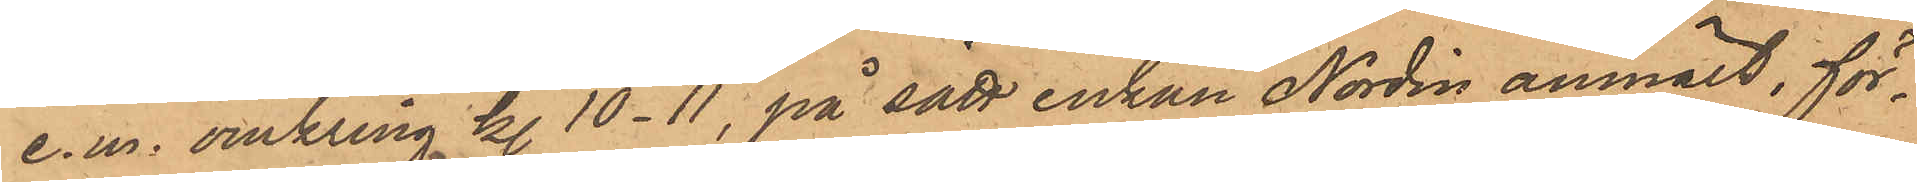e. m. omkring kl. 10-11, på sätt enkan Nordin anmält, för¬
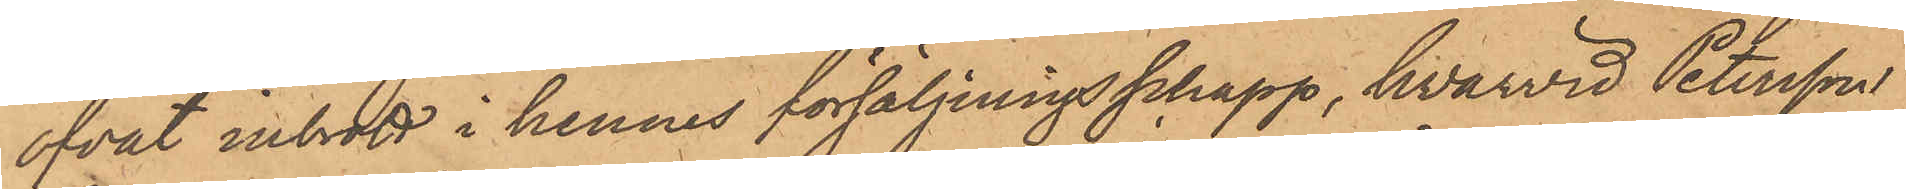öfvat inbrott i hennes försäljningsschapp, hvarvid Petersson
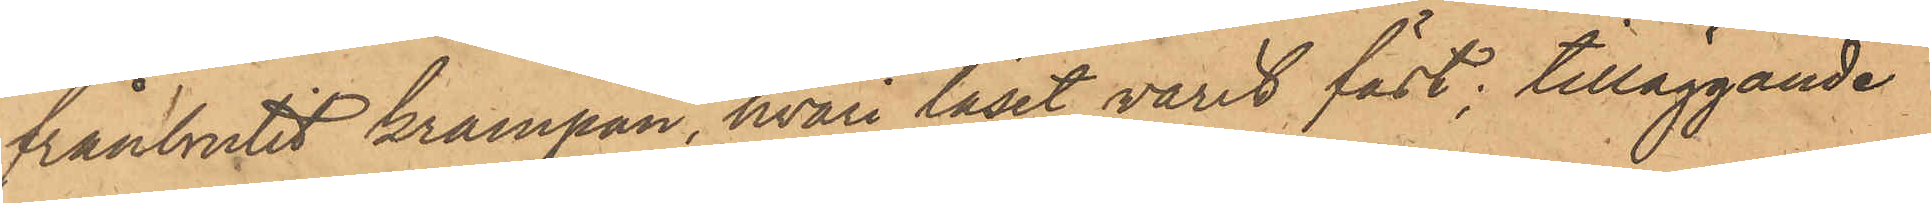frånbrutit krampan, hvari låset varit fäst; tilläggande
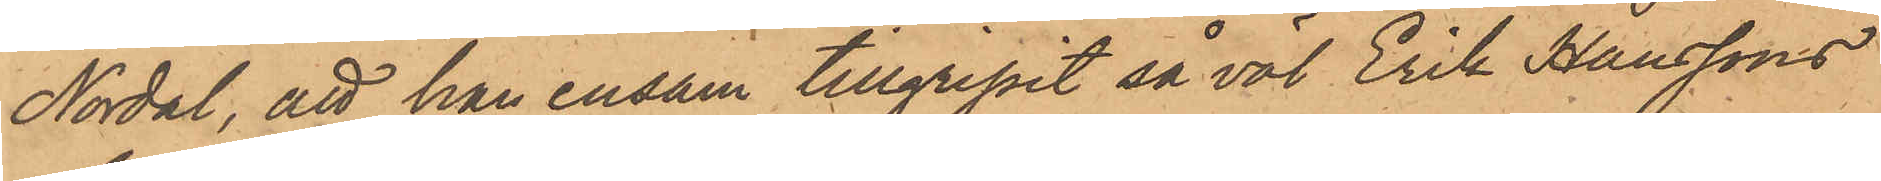Nordal, att han ensam tillgripit så väl Erik Hanssons
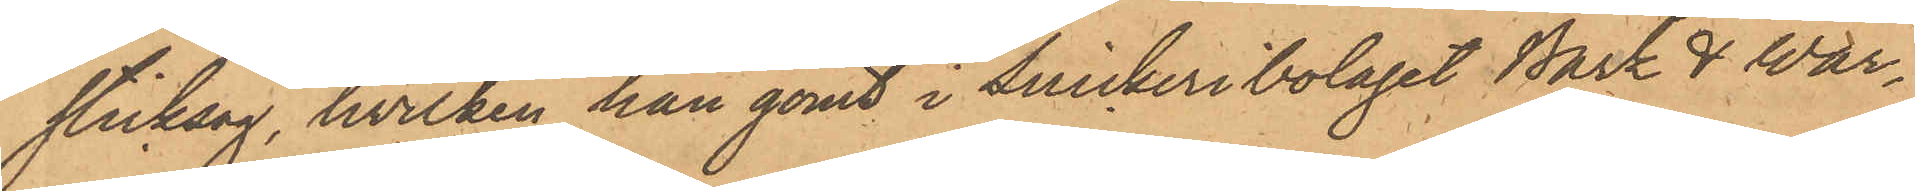sticksåg, hvilken han gömt i Snickeribolaget Bark & War¬
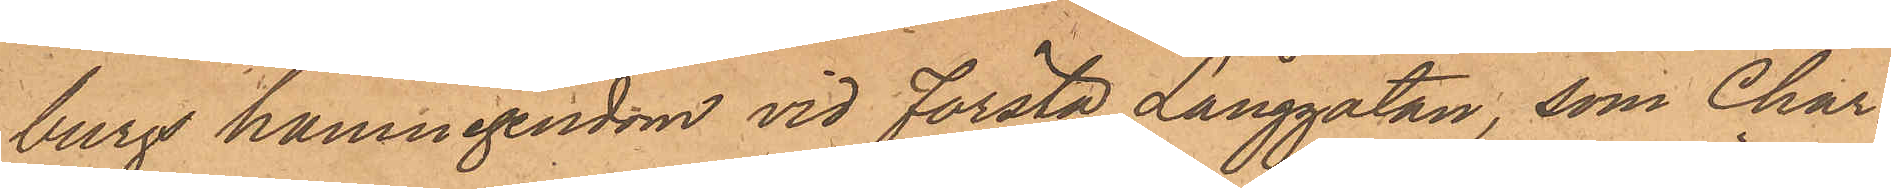burgs hamnegendom vid första Långgatan, som Char¬
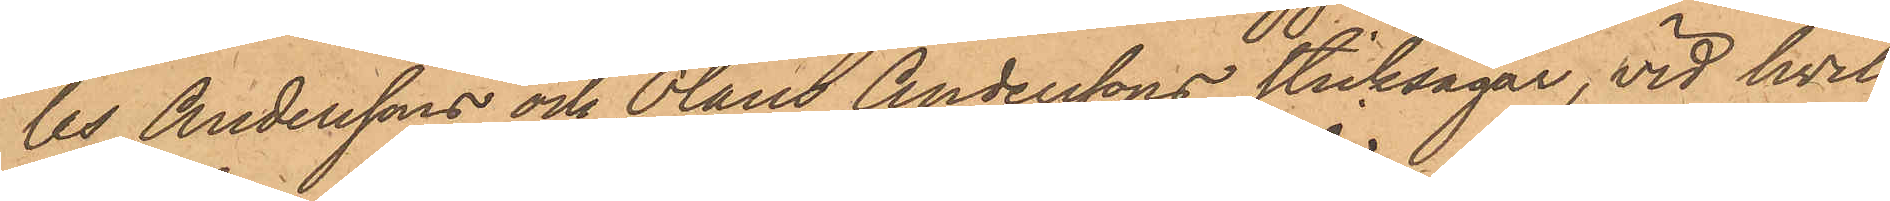les Anderssons och Olaus Anderssons sticksågar, vid hvil¬
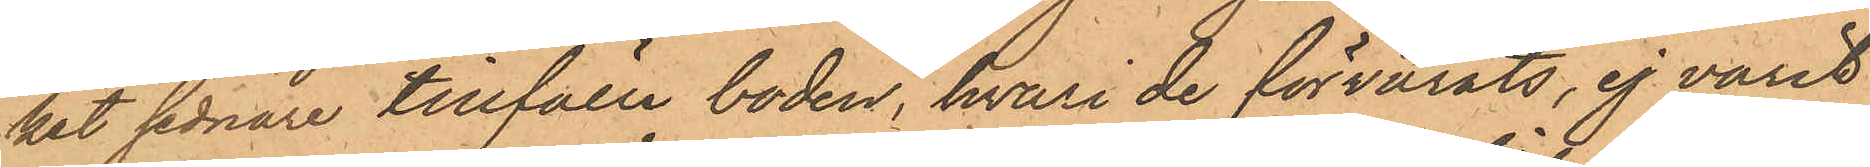ket sednare tillfälle boden, hvari de förvarats, ej varit
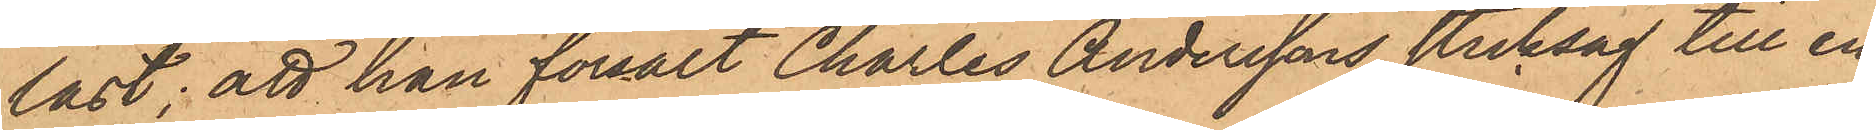låst; att han försålt Charles Anderssons sticksåg till en
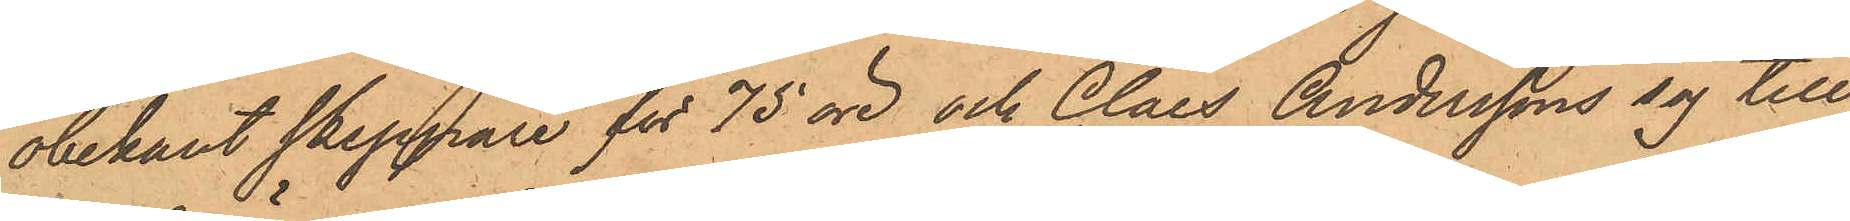obekant skeppare för 75 öre och Claes Anderssons såg till
